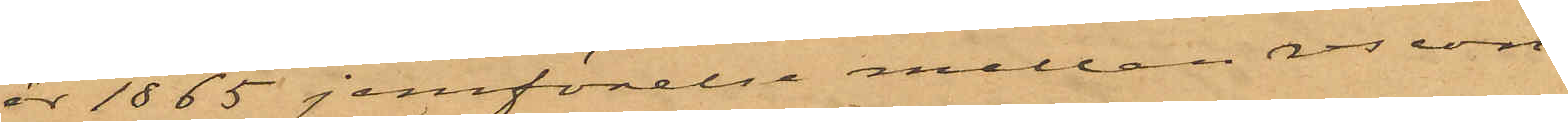år 1865 jemförelse mellan rescon¬
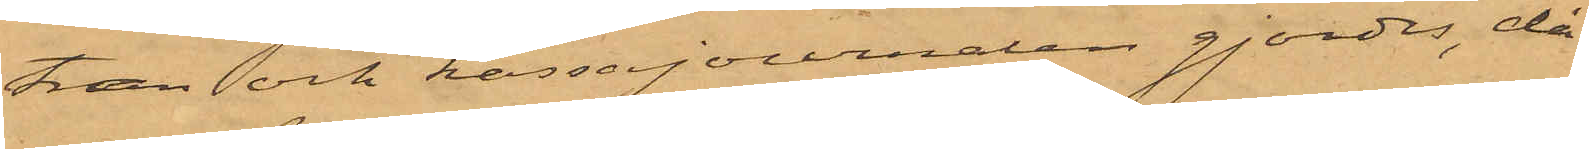tran och kassajournalen gjordes, då
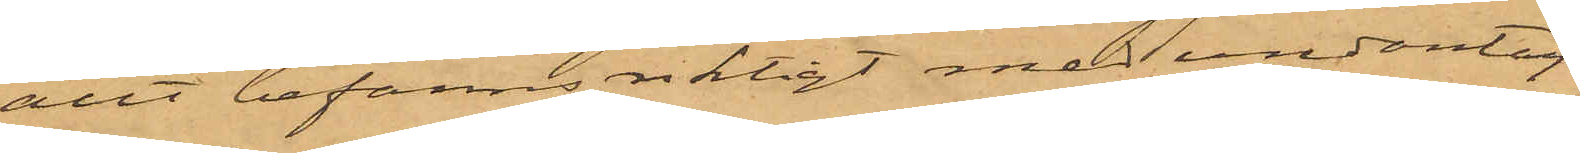allt befanns riktigt med undantag
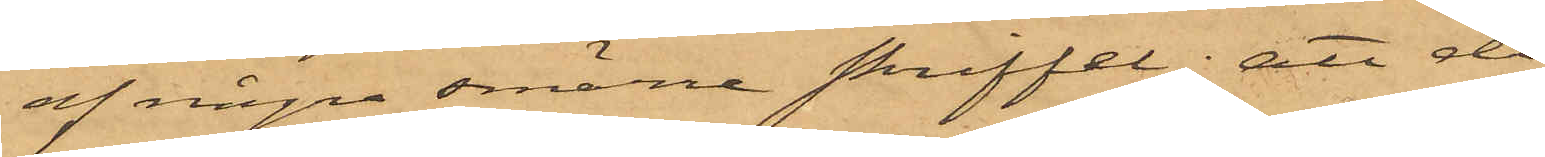af några smärre skriffel; att då
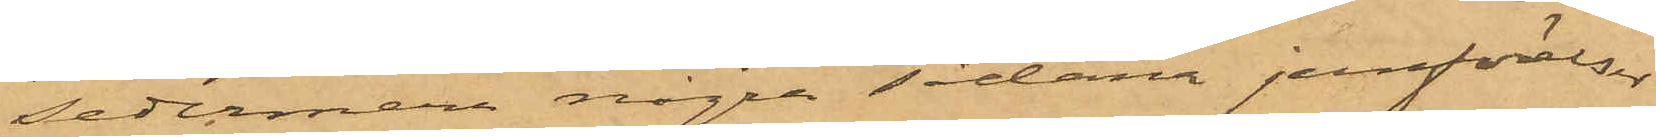sedermera några sådana jemförelser
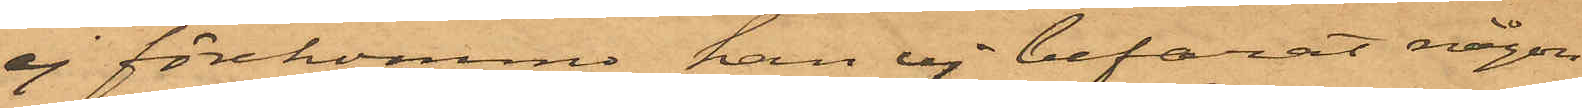ej förekommo, han ej befarat någon
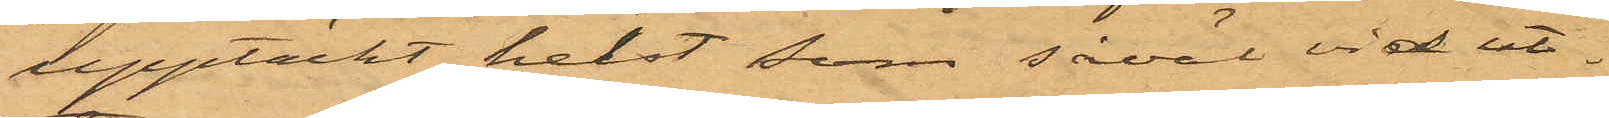upptäckt, helst som såväl vid ut¬
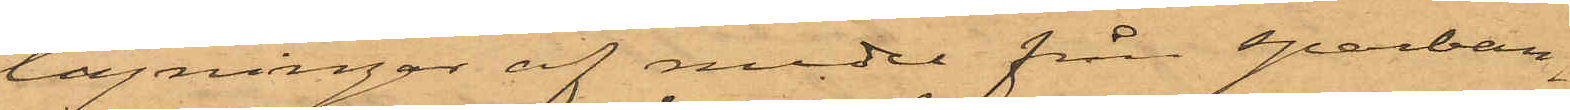tagningar af medel från sparban¬
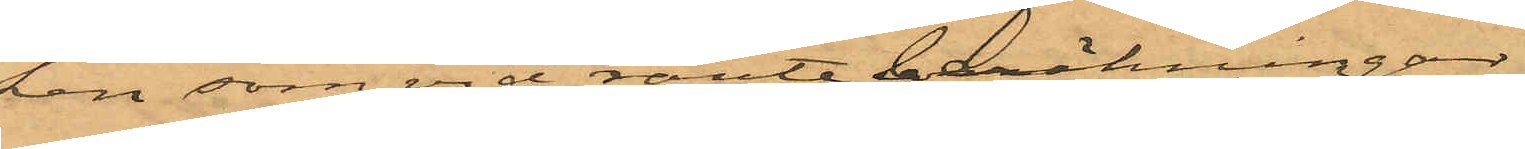ken som vid ränteberäkningar
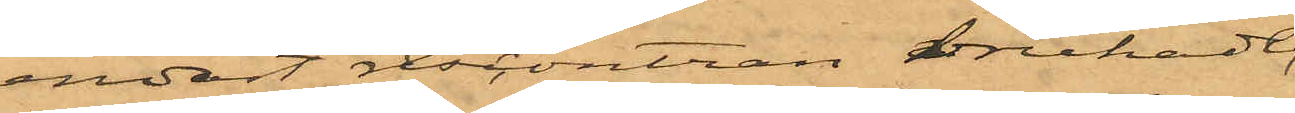endast rescontran brukade
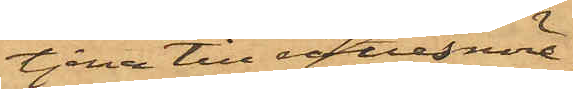tjena till rättesnöre
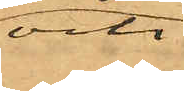och
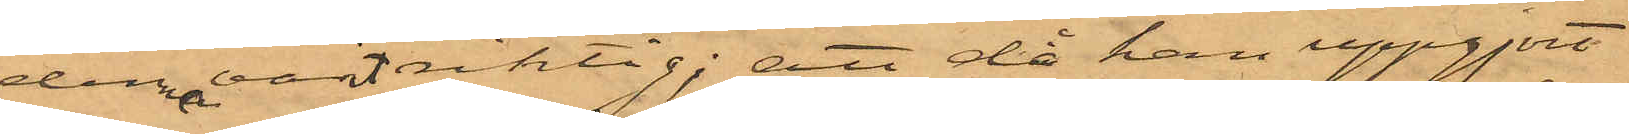denna varit riktig; att då han uppgjort
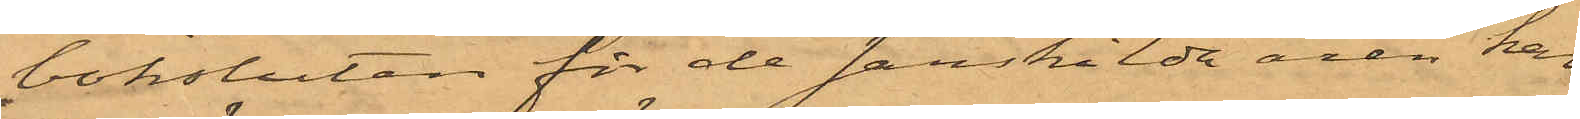boksluten för de särskilda åren han
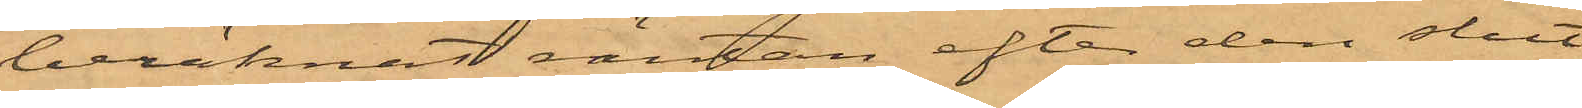beräknat räntan efter den slut¬
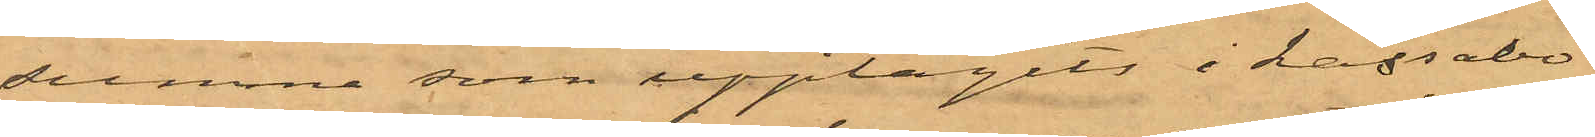summa som upptagits i kassabo¬
